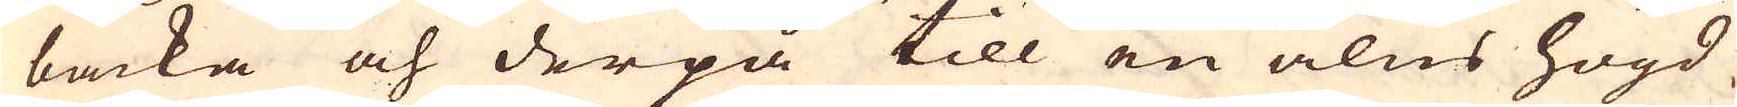backa och derpå till en alns högd
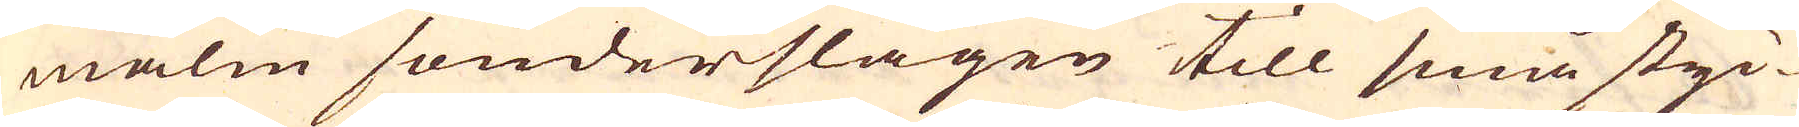malm sönderslagen till små styc-
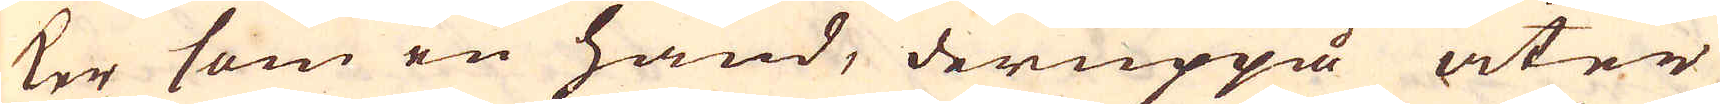ker som en hand, deruppå åter
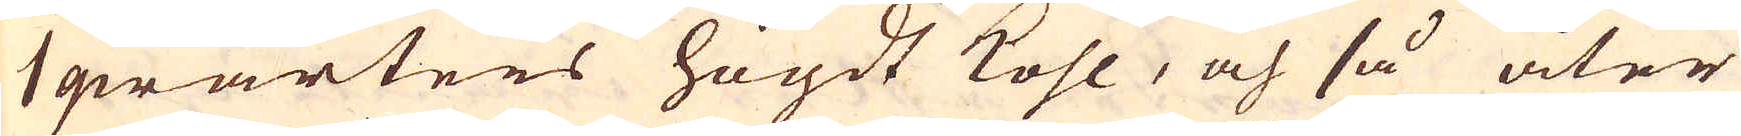1 qwarters högdt kohl, och så åter
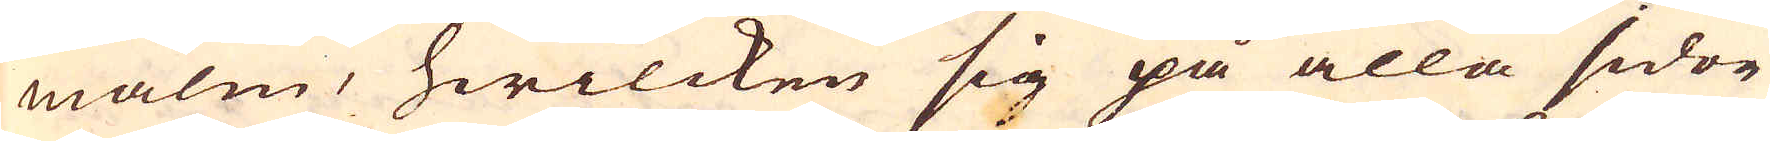malm, hwilcken sig på alla sidor
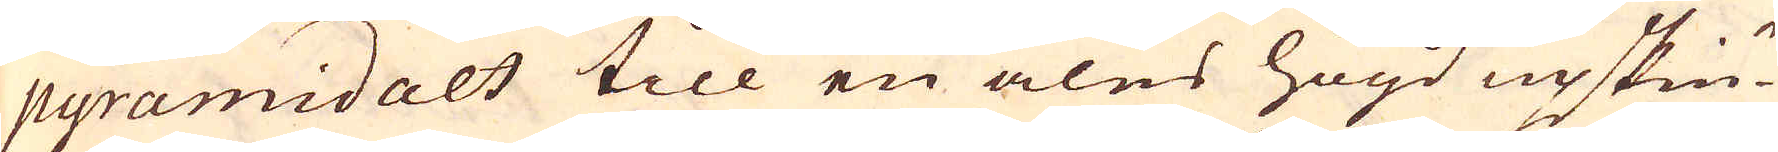pyramidalt till en alns högd upskiu-
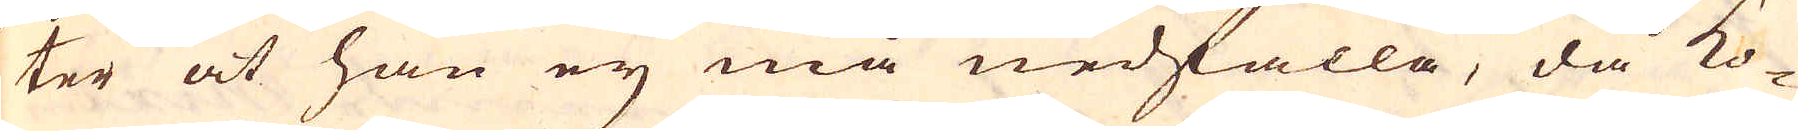ter at han ej må nedfalla, då ko-
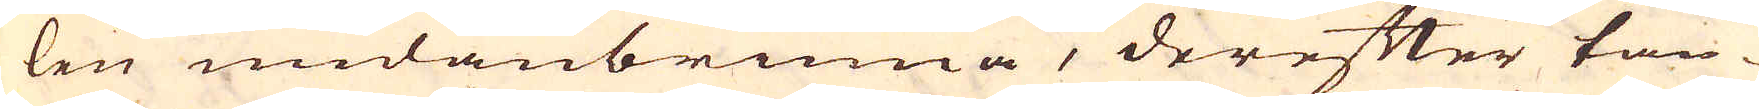len undanbrinna, derefter tän-
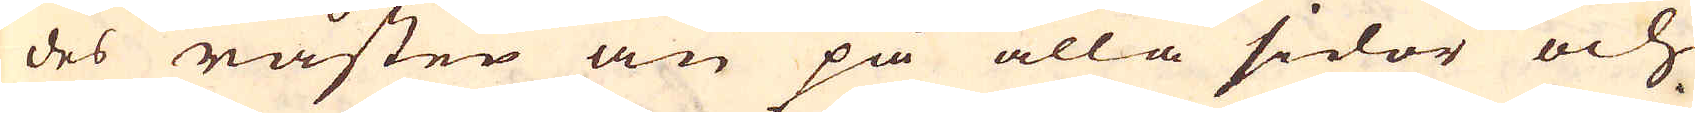des råsten an på alla sidor och
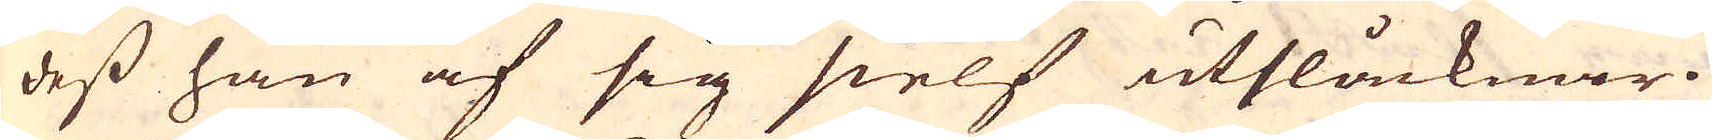dess han af sig sielf utslåcknar.
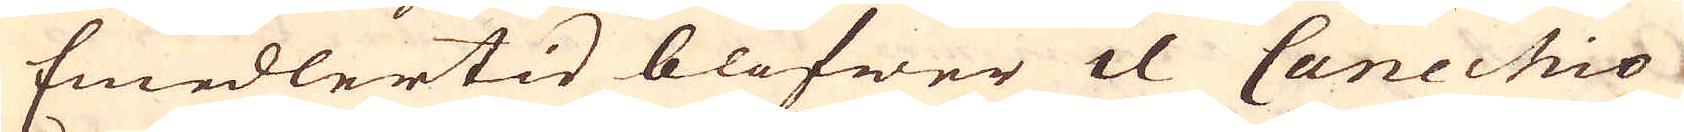Emedlertid blifwer il Canechio
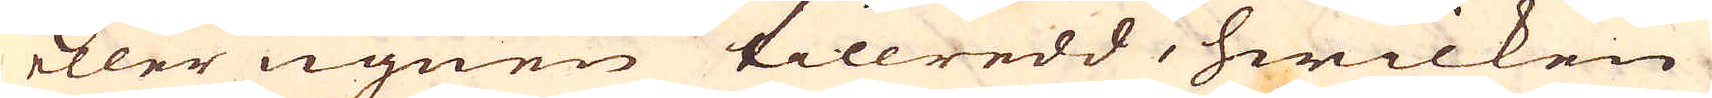eller ugnen tillredd, hwilken
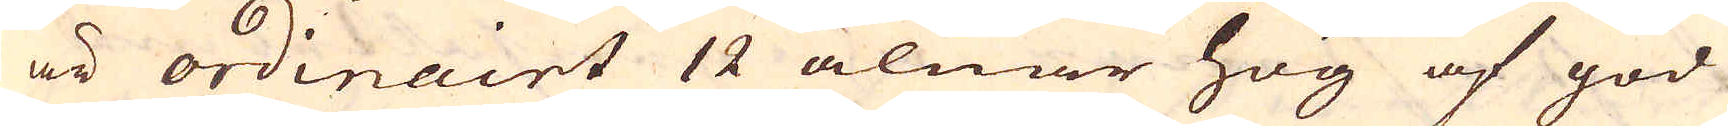är ordinairt 12 alnar hög af god
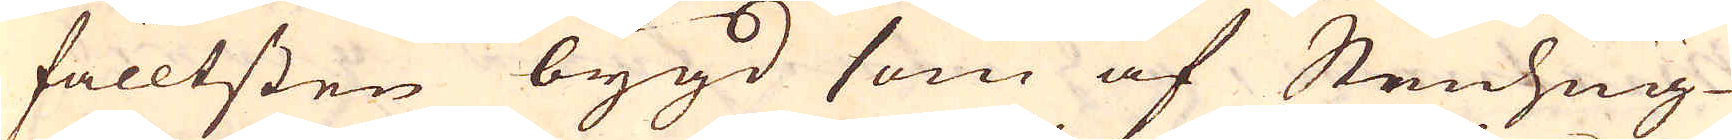fälltsten bygd som af Stenhug-
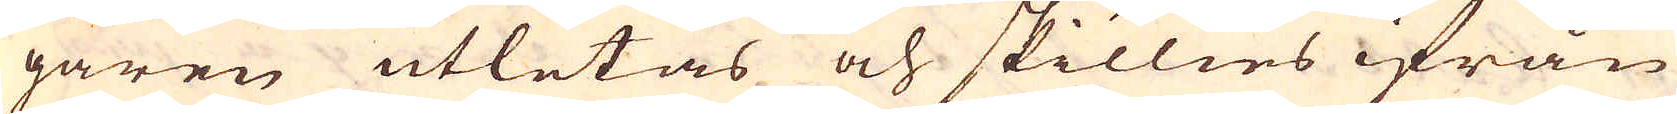garen utletas och skillies ifrån
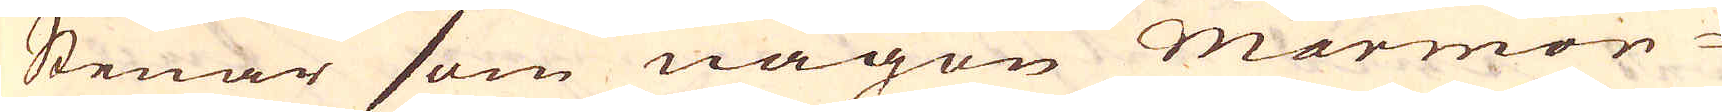Stenar som någon marmor-
